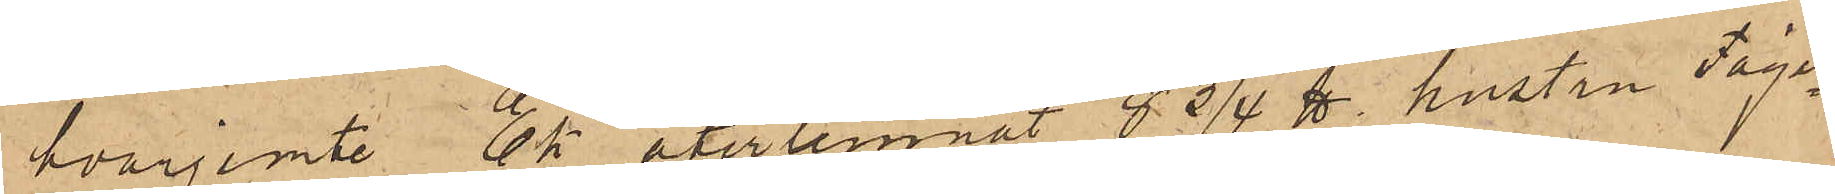hvarjemte Ek återlemnat 8 3/4 ℔ hustru Fäger¬
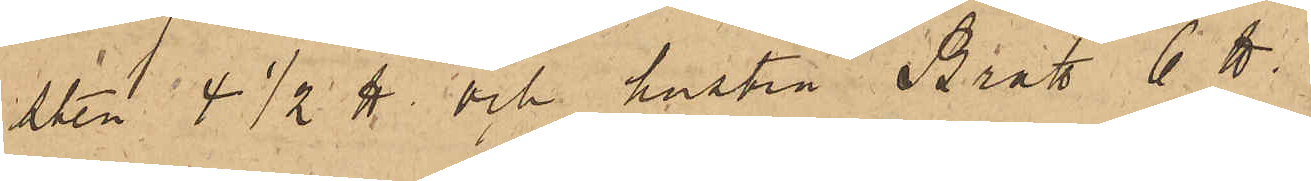sten 4 1/2 ℔ och hustru Bratt 6 ℔.
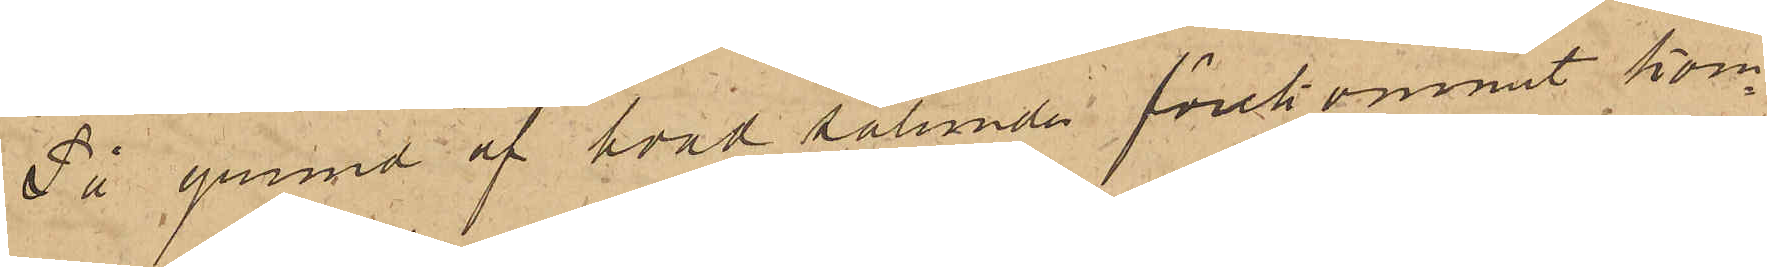På grund af hvad sålunda förekommit kom¬
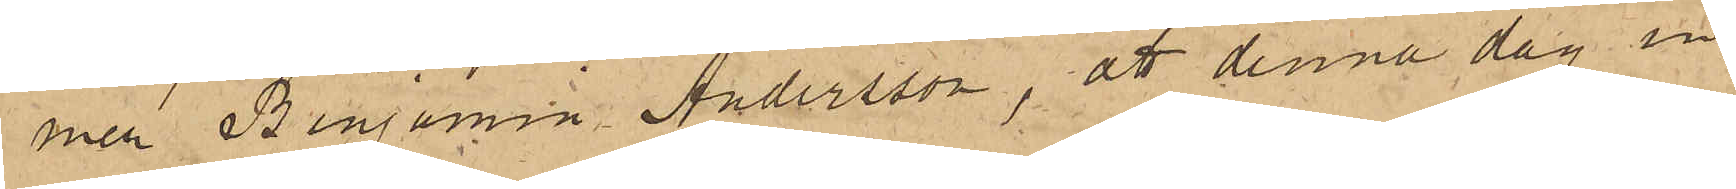mer Benjamin Andersson, att denna dag in¬
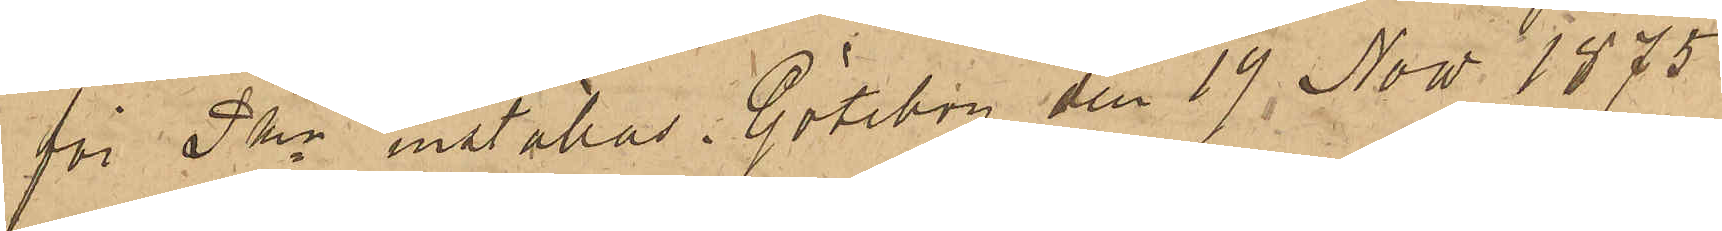för Pkn inställas. Göteborg den 19 Now. 1875
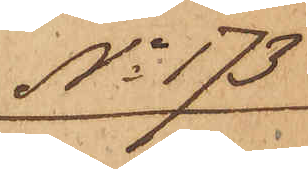No 173
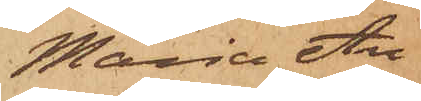Maria An¬
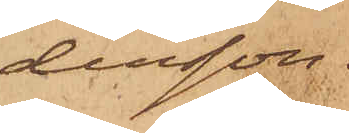dersson.
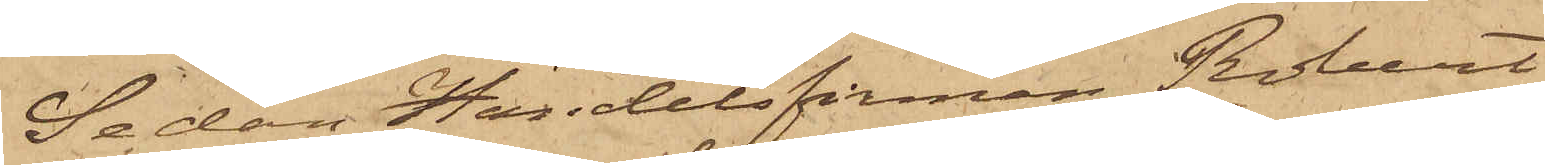Sedan Handelsfirman Robert
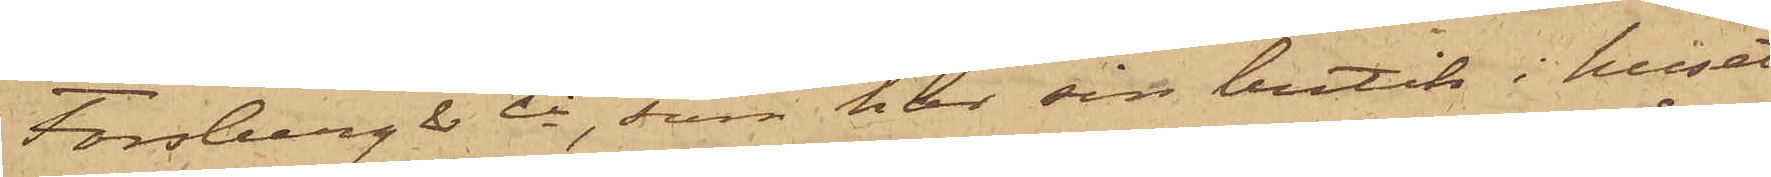Forsberg & Ci, som har sin butik i huset
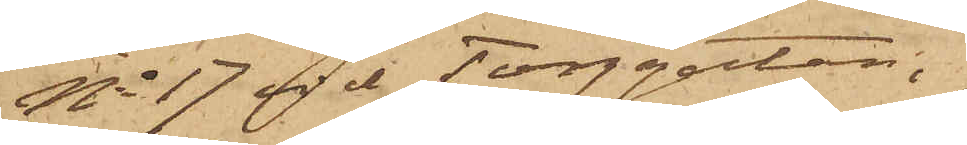No 17 vid Torggatan,
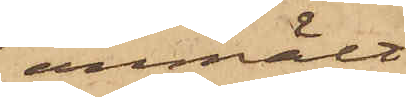anmält
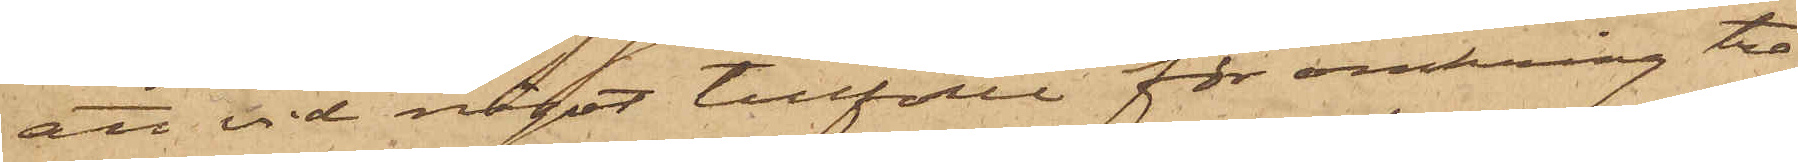att vid något tillfälle för omkring tre
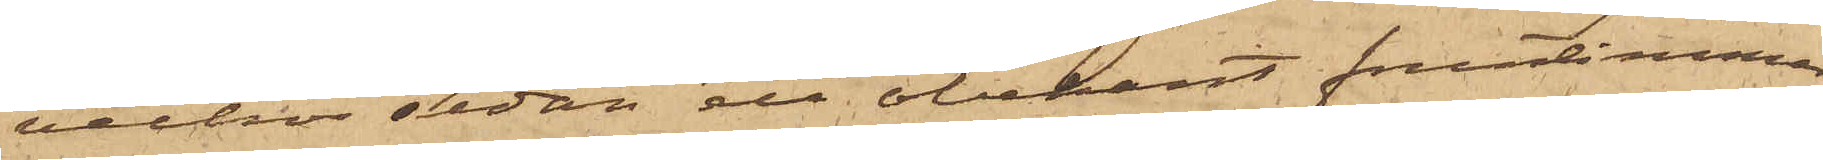veckor sedan ett obekant fruntimmer
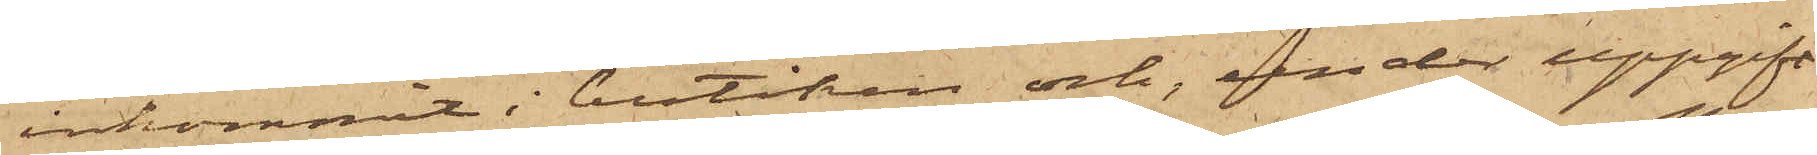inkommit i butiken och, under uppgift
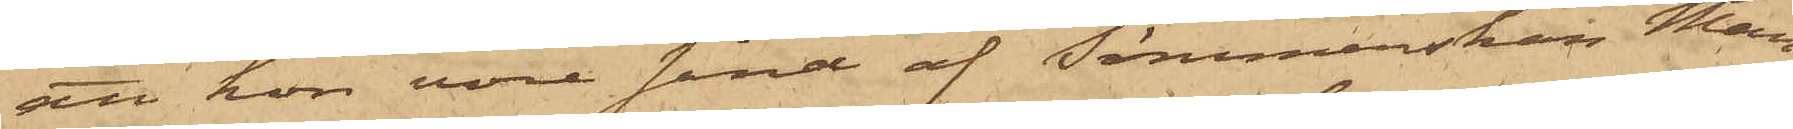att hon vore sänd af Sömmerskan Mam¬
